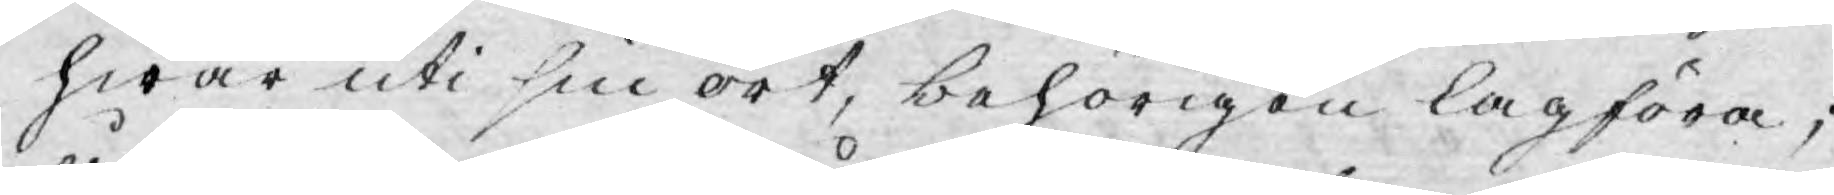hwar uti sin ort, behörigen lagföra;
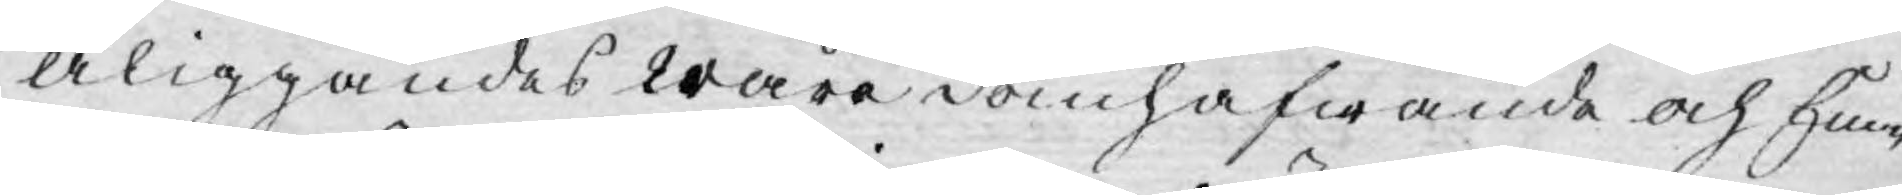åliggandes wåre domhafwande och Em¬
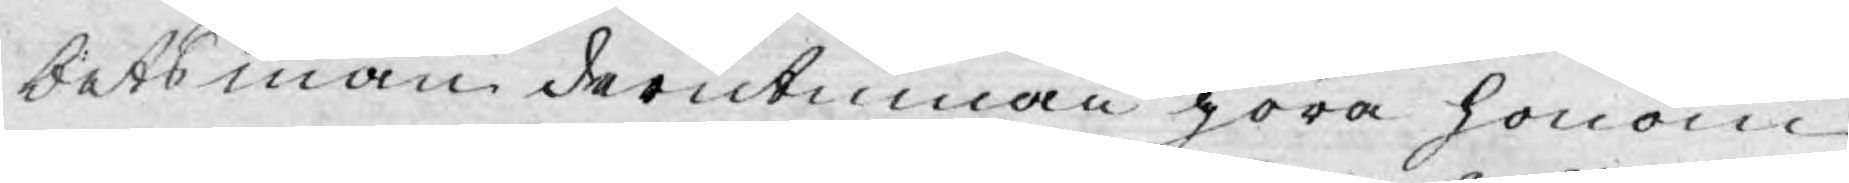betsmän derutinnan göra honom
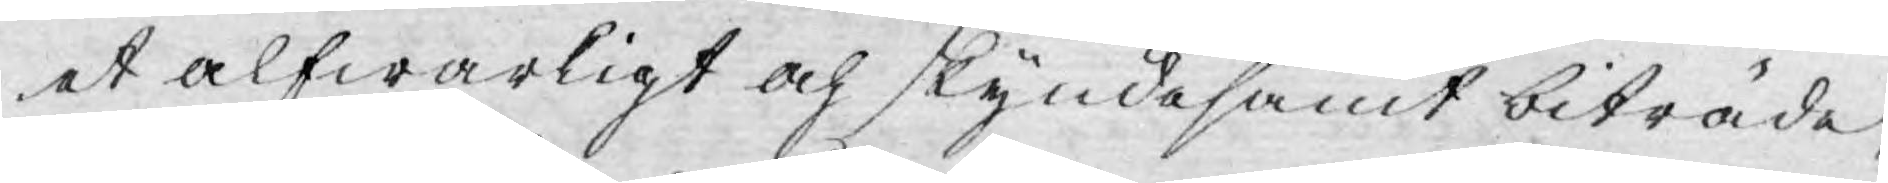et alfwarligt och skyndesamt biträde,
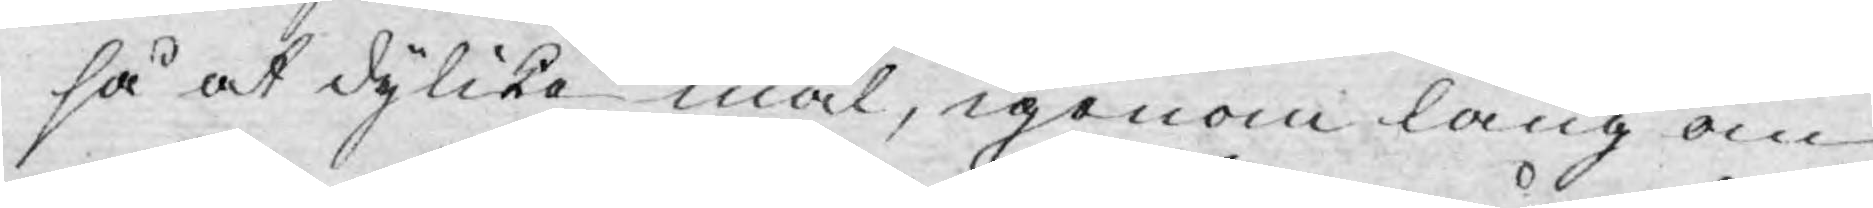så at dylika mål, igenom lång om¬
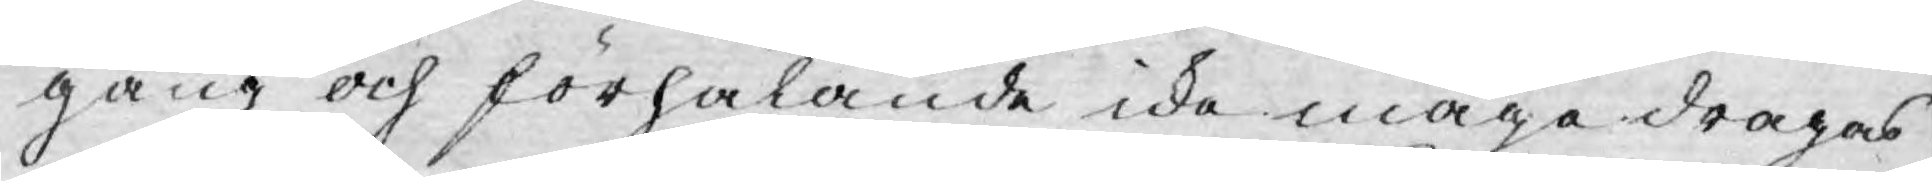gång och förhalande icke måge dragas
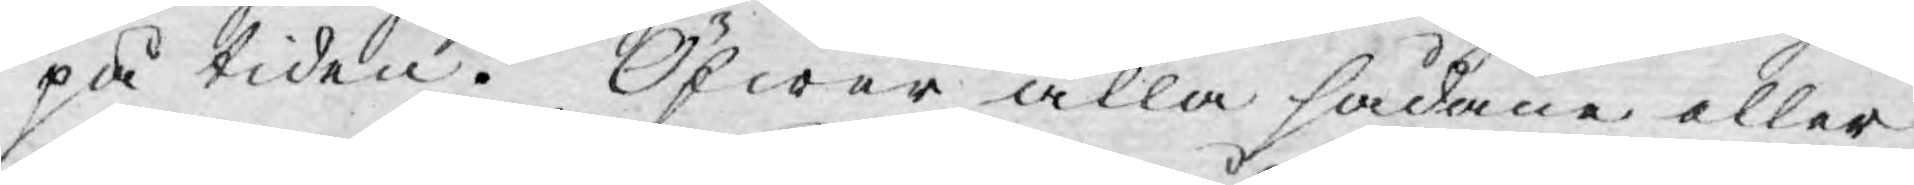på tiden. Öfwer alla sådane eller
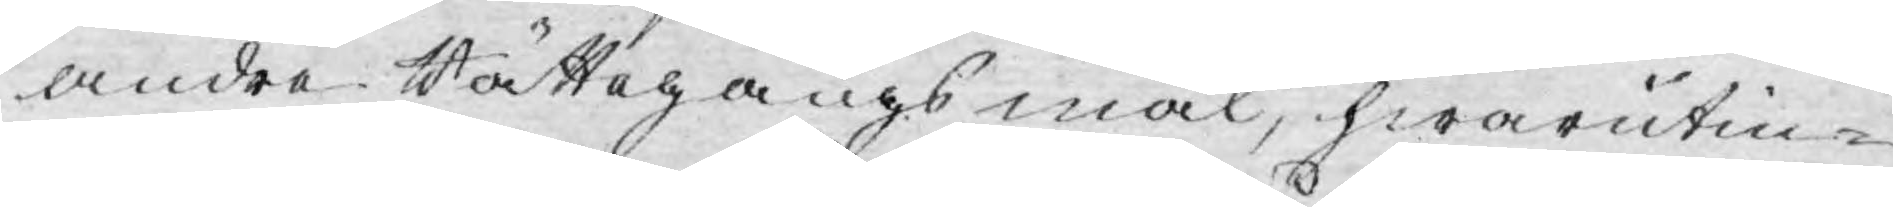andre Rättegångsmål, hwarutin¬
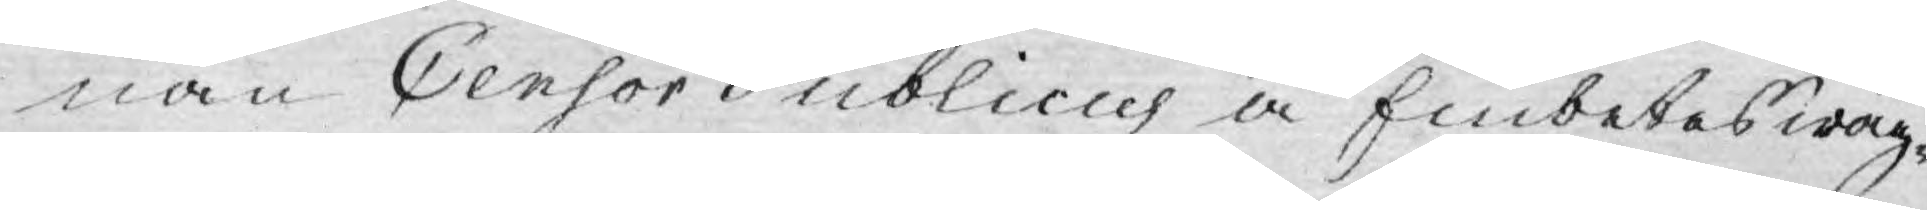nan Censor Publicus å Embetes wäg¬
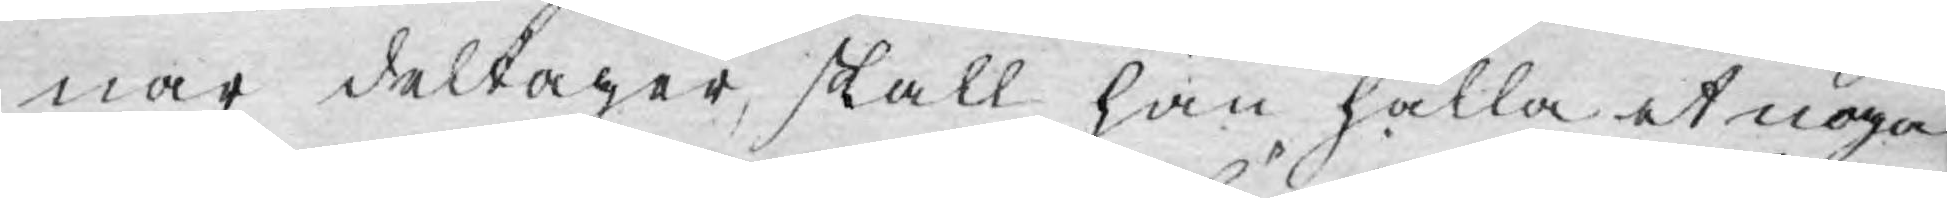nar deltager, skall han hålla et noga
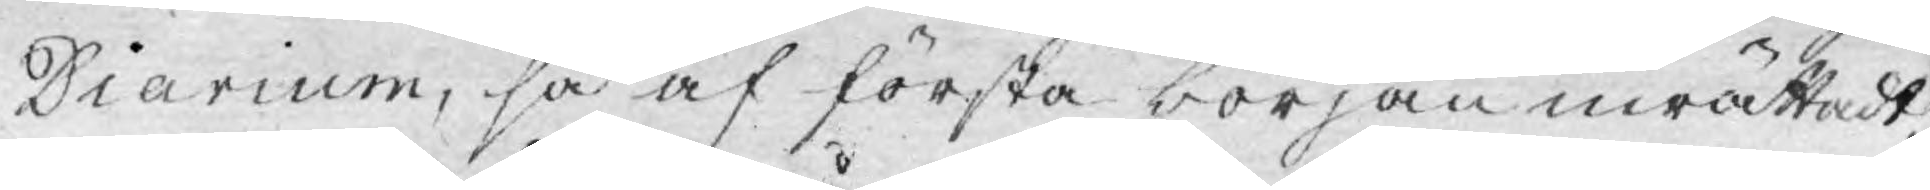Diarium, så af första början inrättadt,
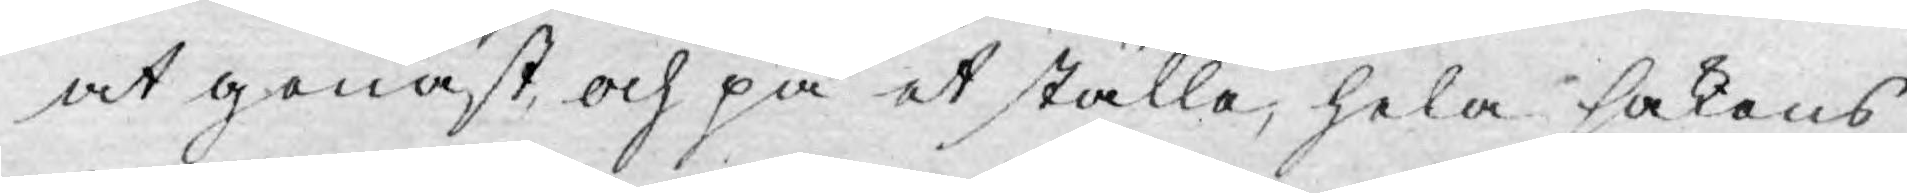at genast, och på et ställe, hela sakens
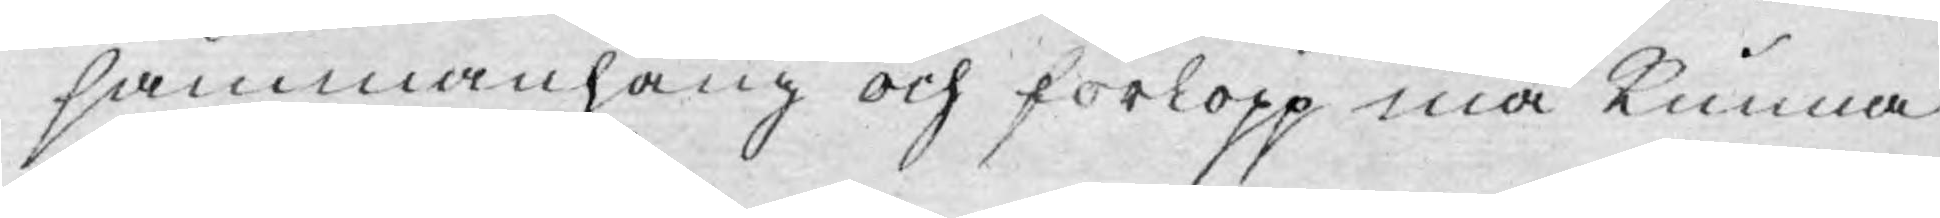sammanhang och förlopp må kunna
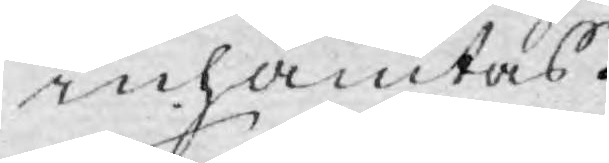inhämtas.
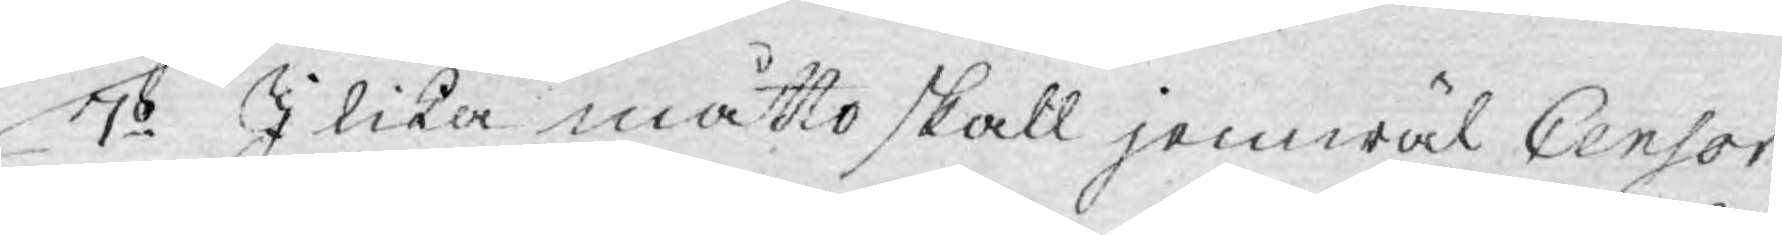7o I lika måtto skall jemwäl Censor
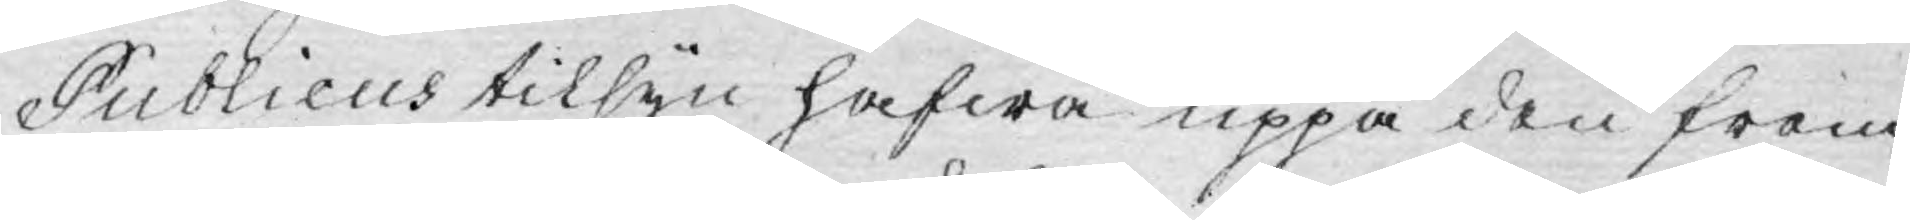Publicus tilsyn hafwa uppå den frem¬
